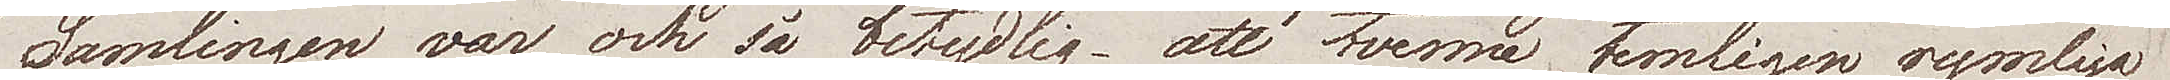Samlingen var och så betydlig, att tvenne temligen rymliga
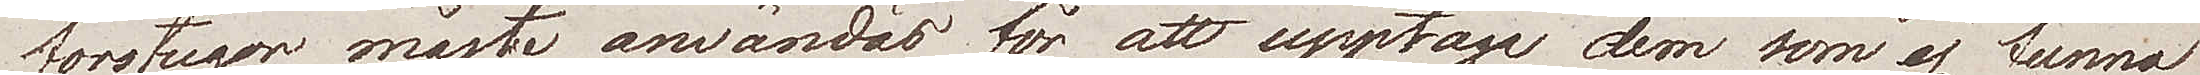förstugor måste användas för att upptaga dem som ej funna
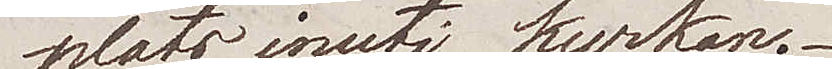plats inuti kyrkan.
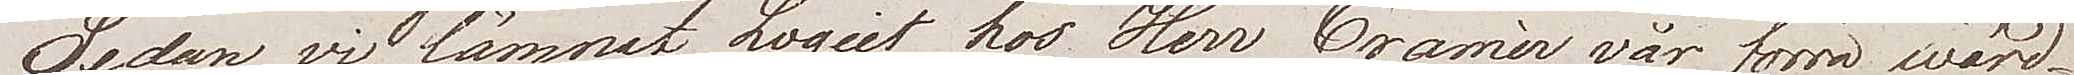Sedan vi lämnat Logiet hos Herr Cramér vår förra wärd
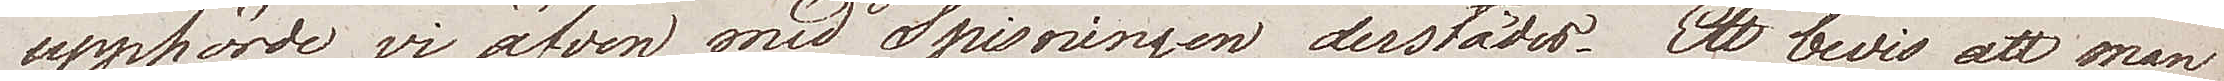upphörde vi äfven med Spisningen derstädes. Ett bevis att man
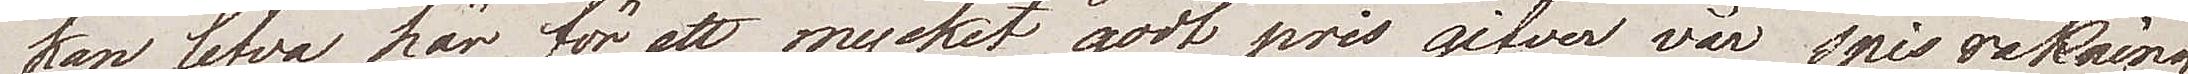kan lefva här för ett mycket godt pris gifver vår spis räkning
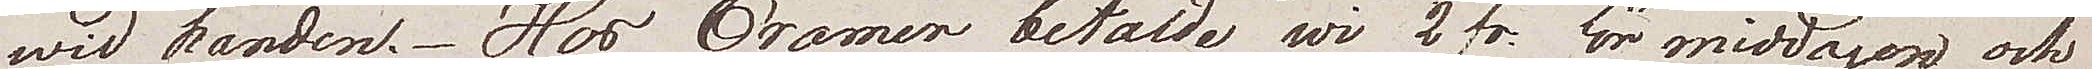wid handen. Hos Cramer betalde wi 2 fr: för middagen och
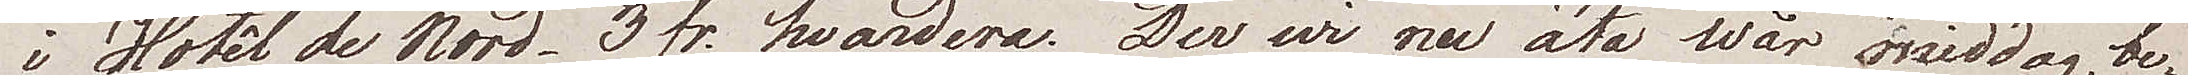i Hotêl de Nord 3 fr. hvardera. Der wi nu äta wår middag, be¬
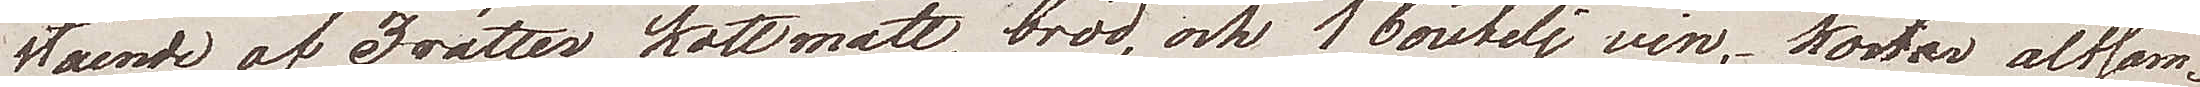stående af 3 rätter köttmatt,bröd, och 1 boutelj vin, kostar altsam¬
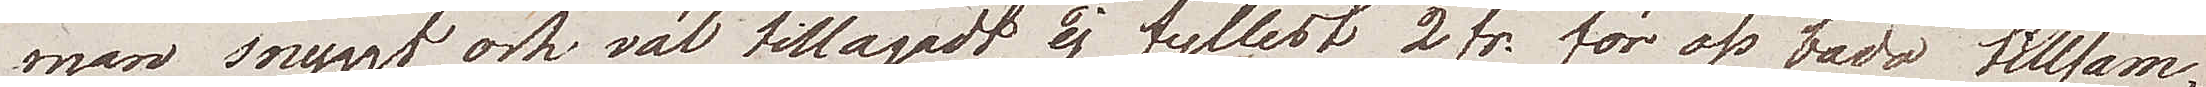man snyggt och väl tillagadt, ej fyllest 2 fr. för oss båda tillsam¬
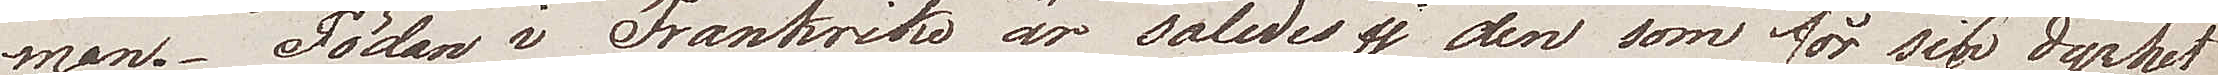man. Födan i Frankrike är således ej den som för sin dyrhet
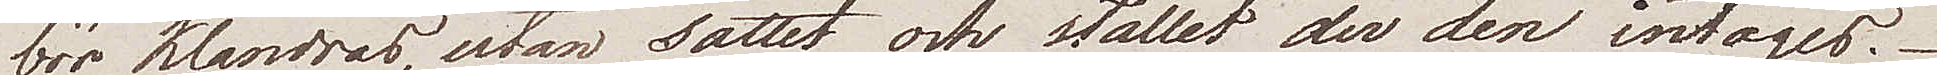bör klandras, utan sättet och stället der den intages.
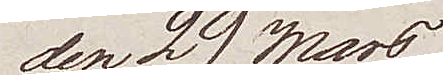den 29 Mars
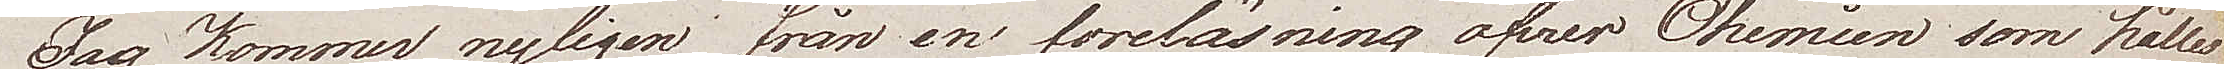Jag kommer nyligen från en föreläsning öfwer Chemien som håller
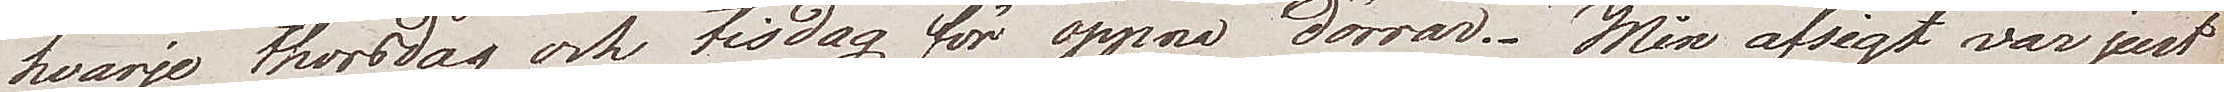hvarje thorsdag och tisdag för öppna dörrar. Min afsigt var just
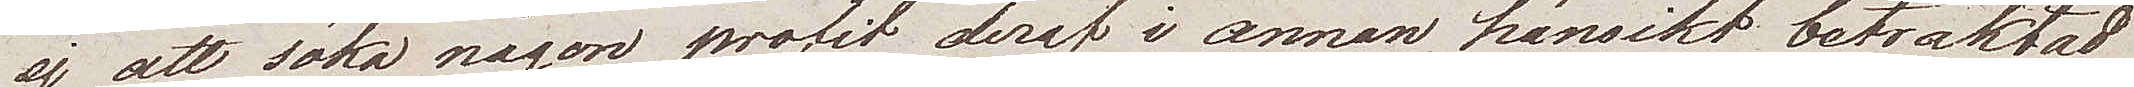ej att söka någon profit deraf i annan hänsikt betraktad
